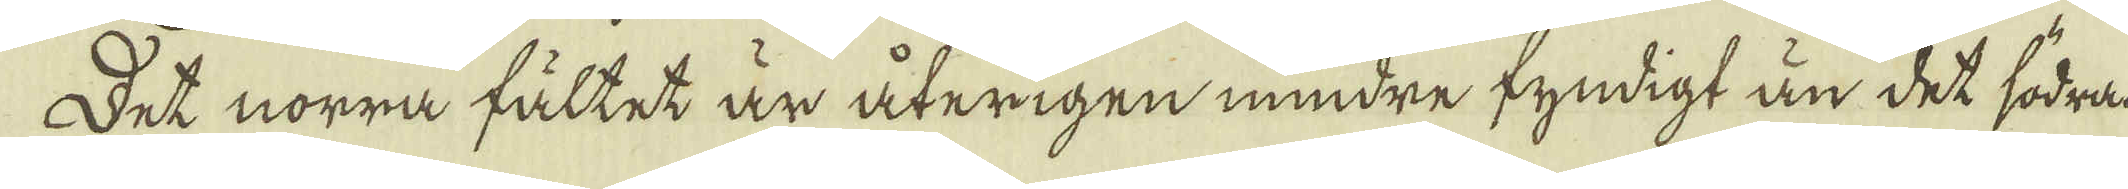Det norra fältet är återigen mindre fyndigt än det södran,
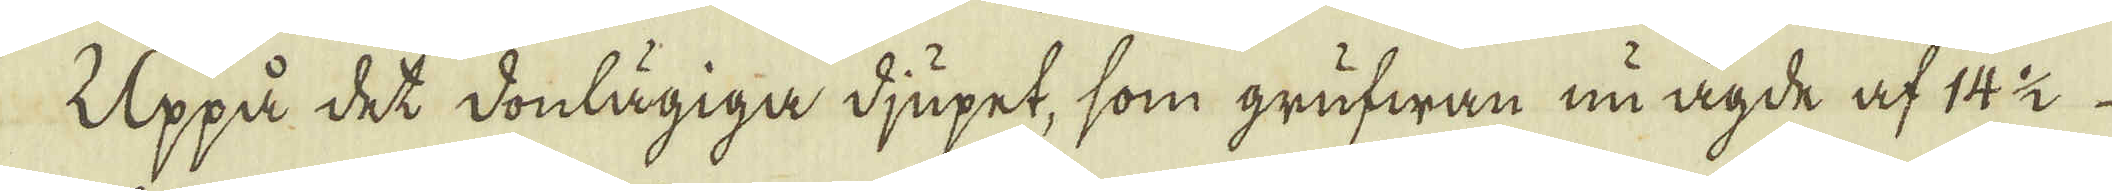Uppå det donlägiga djupet, som grufwan nu ägde af 14 1/2
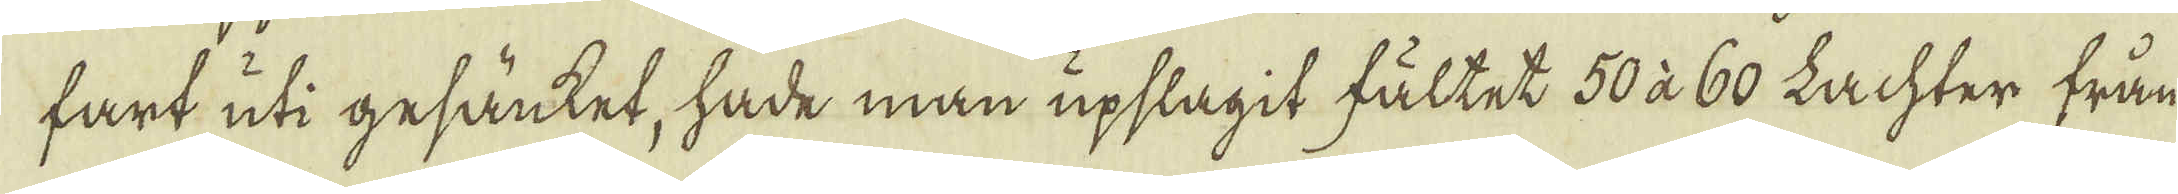fart uti gesänket, hade man upslagit fältet 50 à 60 Lachter från
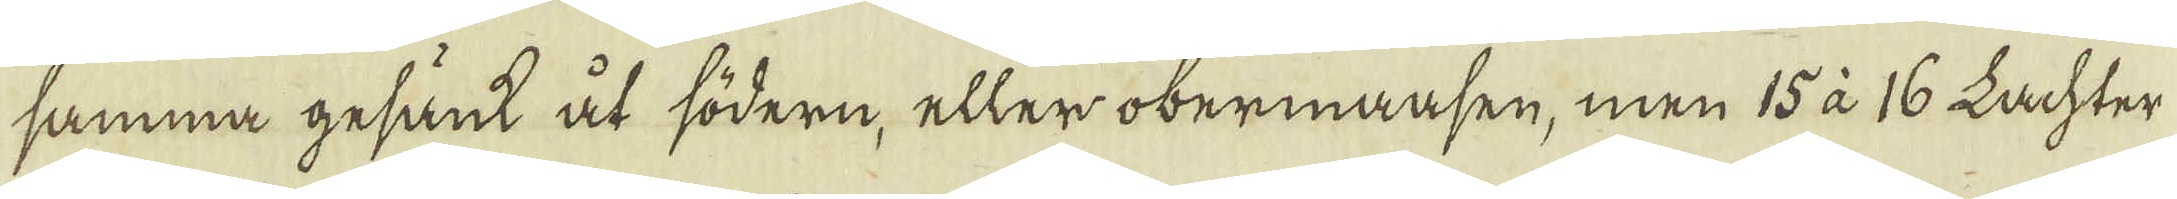samma gesänt åt södern, eller obermaasen, men 15 à 16 Lachter
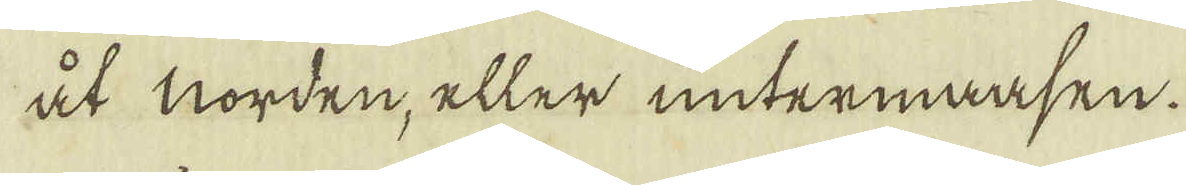åt norden, eller untermaasen.
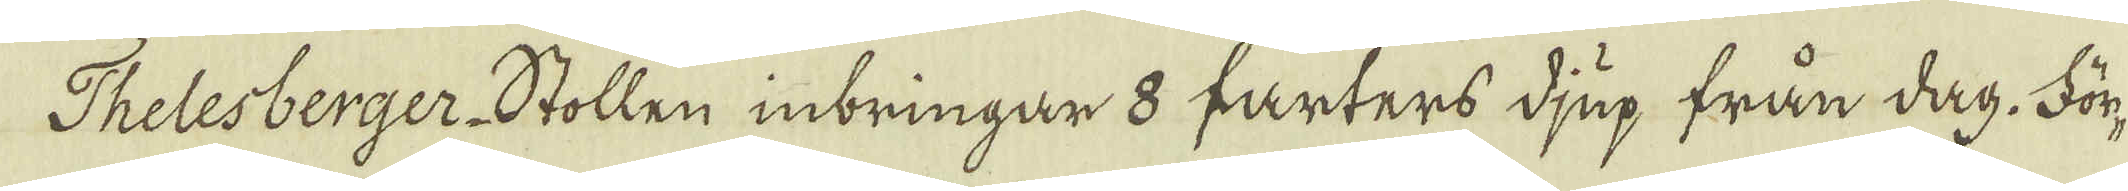Thelesberger-Stollen inbringar 8 farters djup från dag. För-
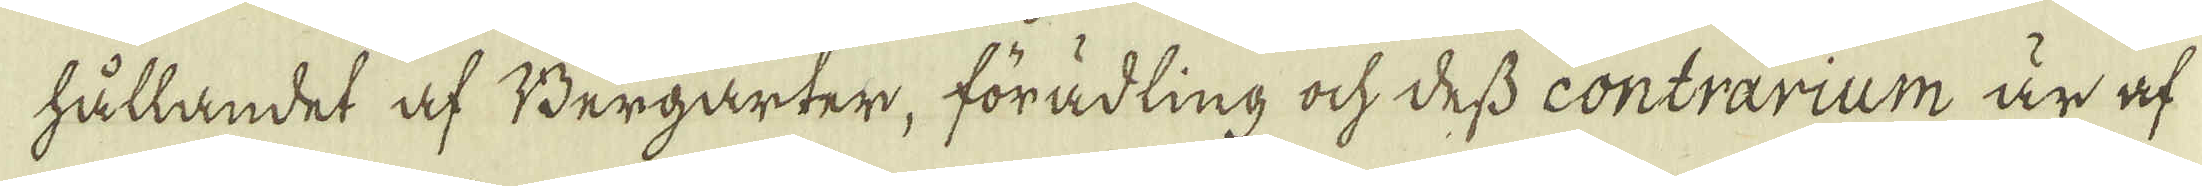hållandet af Bergarter, förädling ock dess contrarium är af
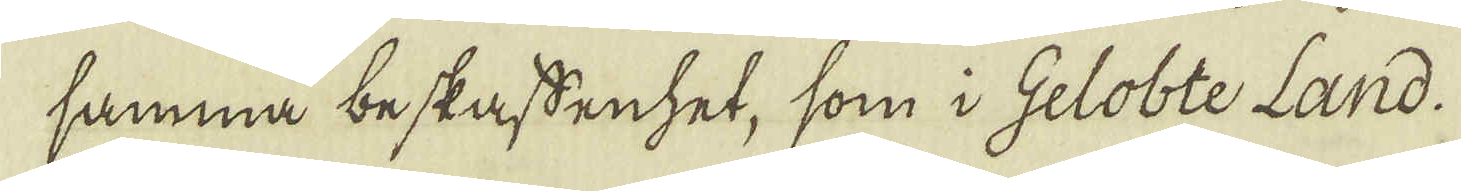samma beskaffenhet, som i Gelobte Land-
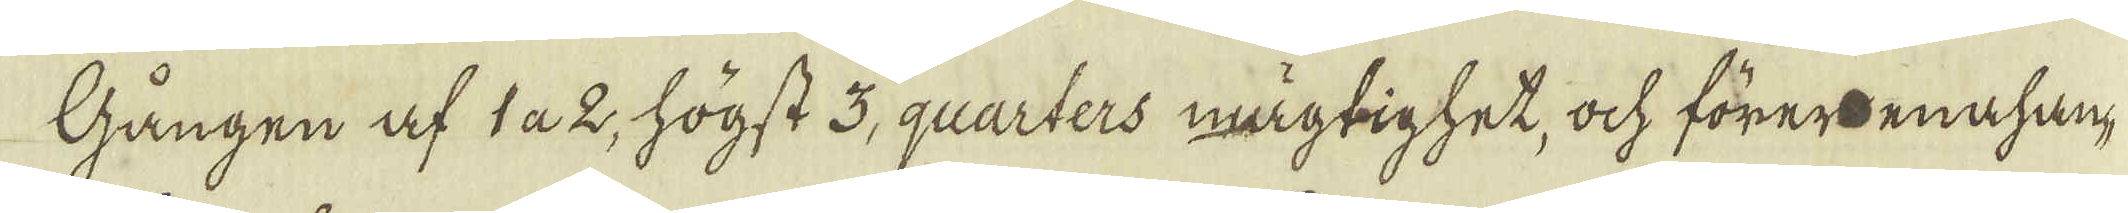Gången af 1 a 2, högst 3, quarters mägtighet, ock förerenahan-
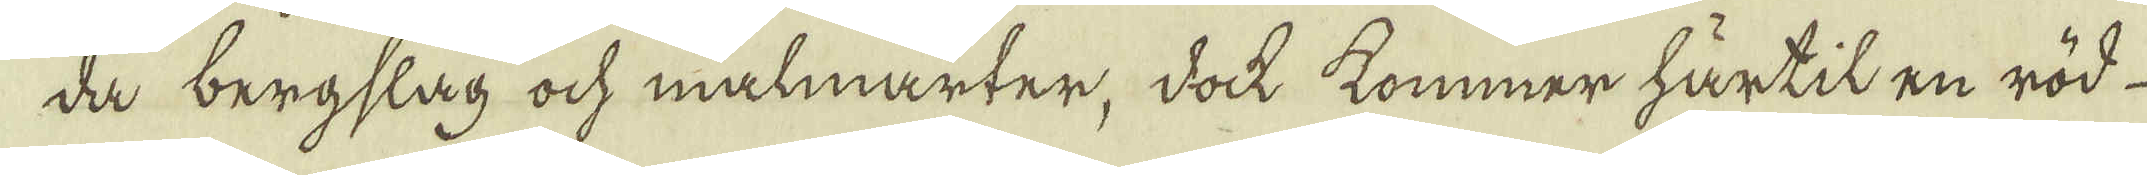da bergslag ock malmarter, dock kommer härtil en röd-
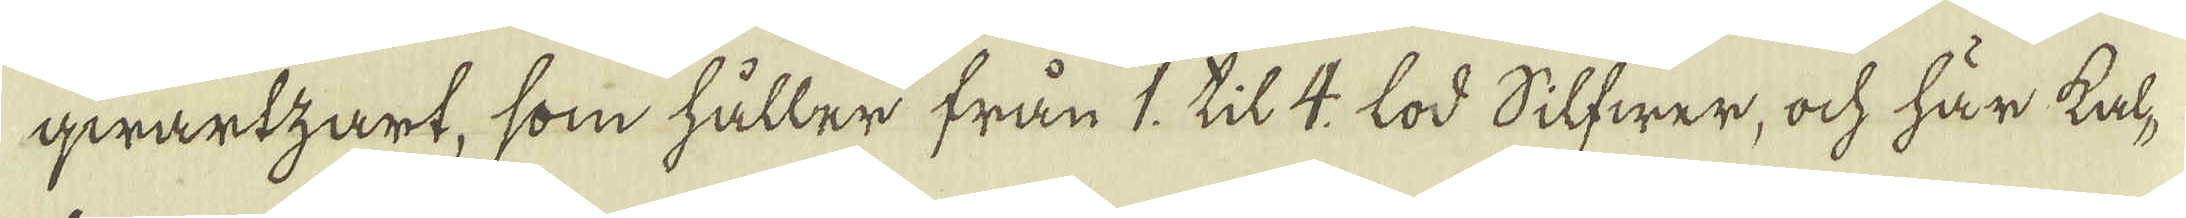qwartzart, som håller från 1, til 4 lod Silfwer, ock här kal-
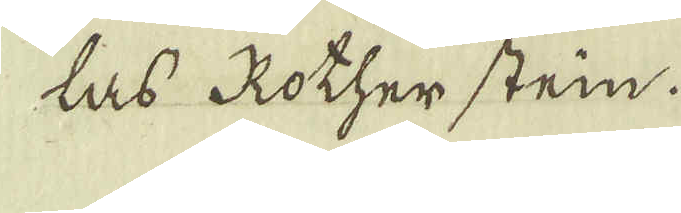las Rotherstein.
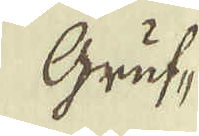Gruf-
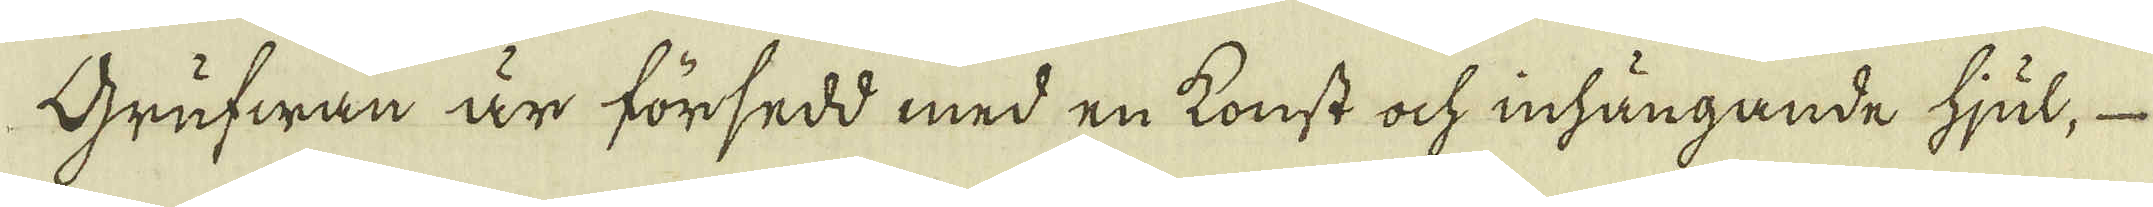Grufwan är försedd med en konst ock inhängande hjul,
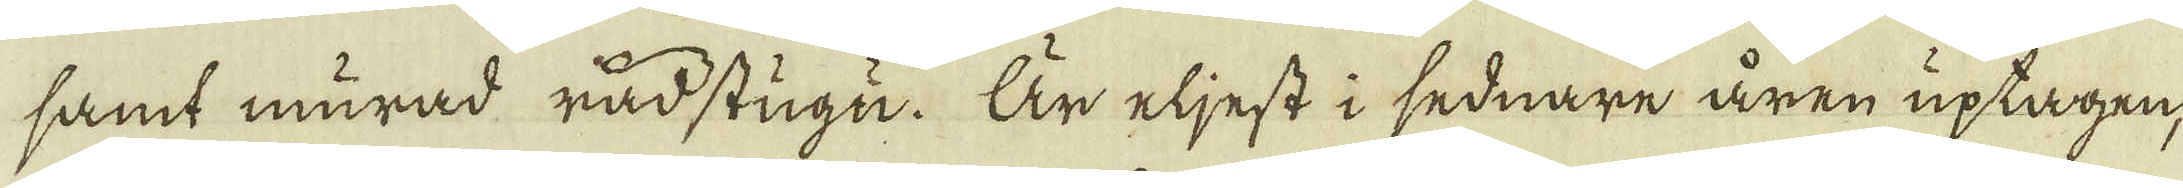samt murad råd stugu. Är eljest i sednare åren uptagen,
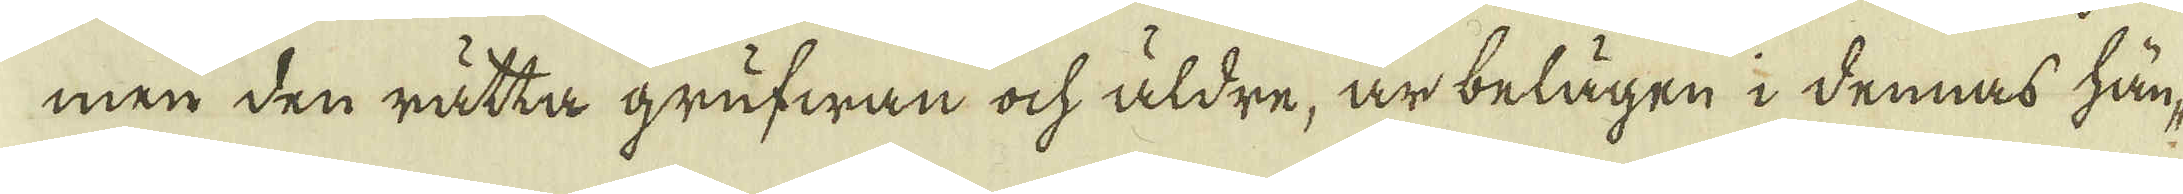men den rätta grufwan ock äldre, är belägen i dennas hän-
